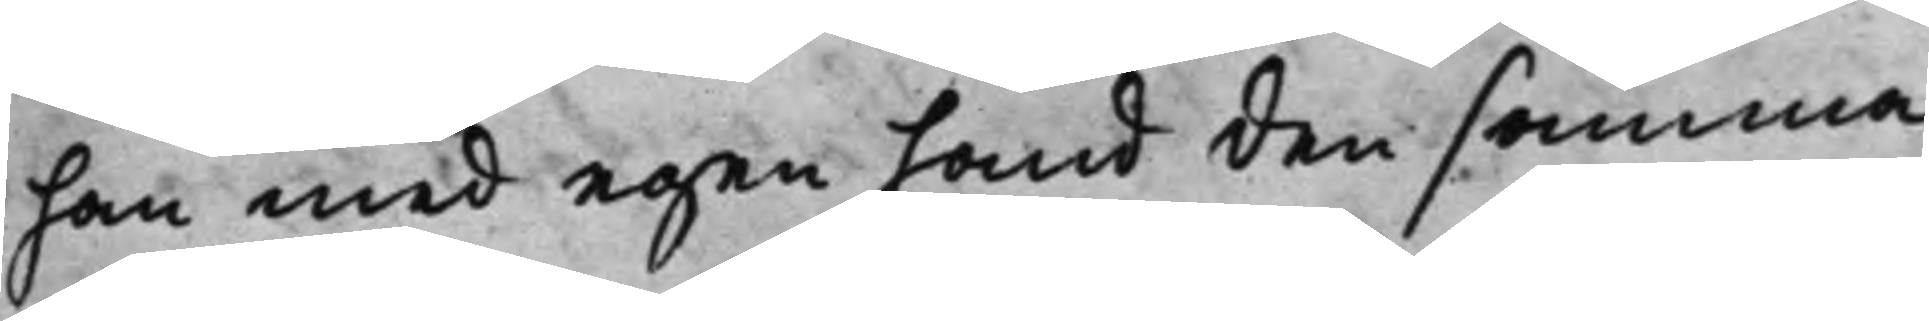han med egen hand den samma
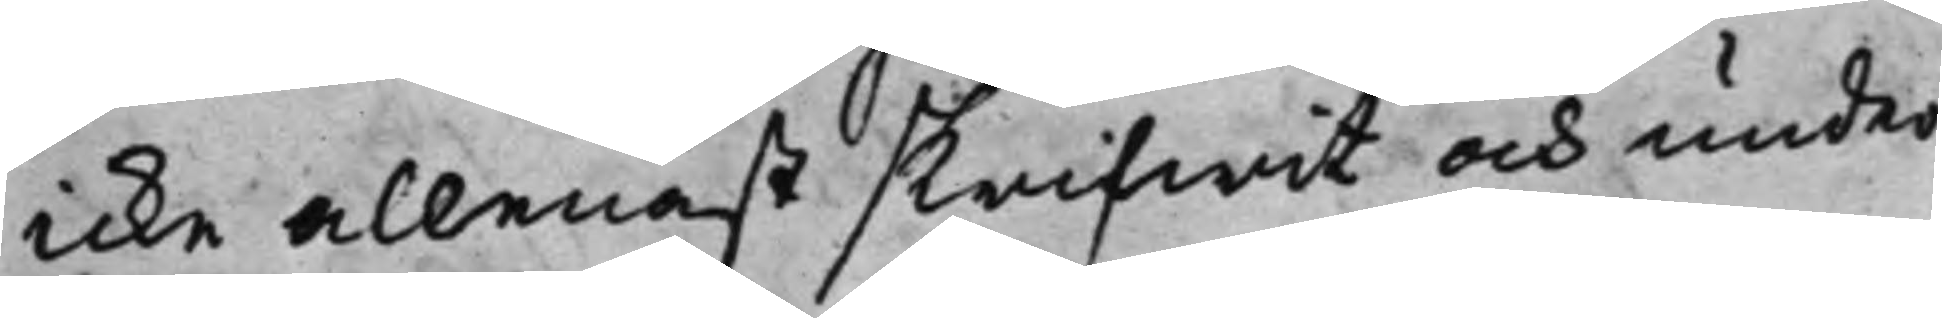icke allenast skrifwit och under¬
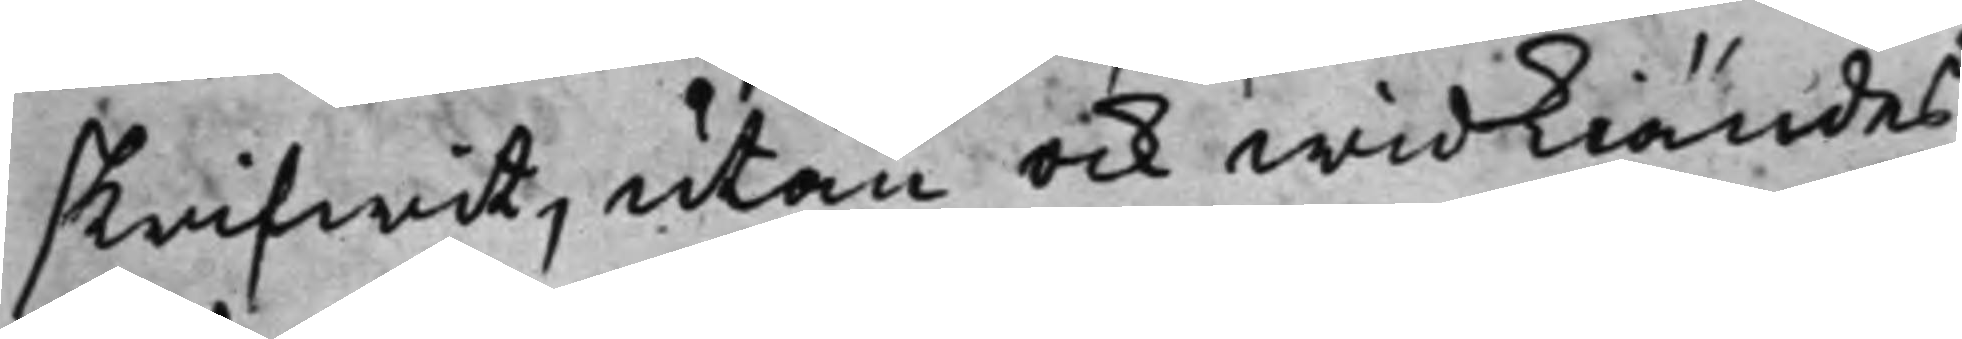skrifwit, utan ock widkiändes
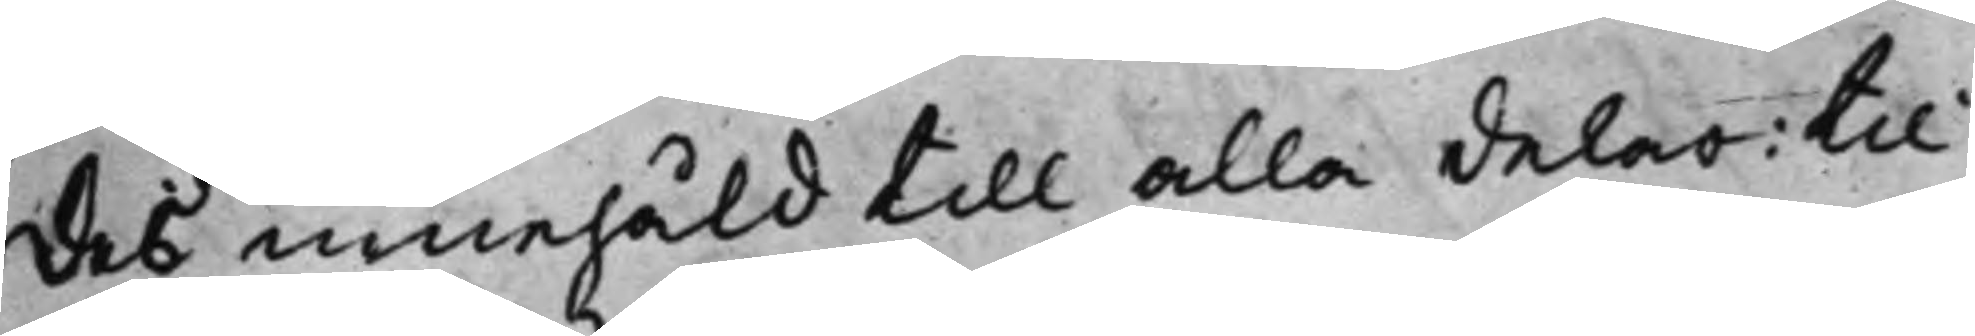des innehåld till alla delar: til
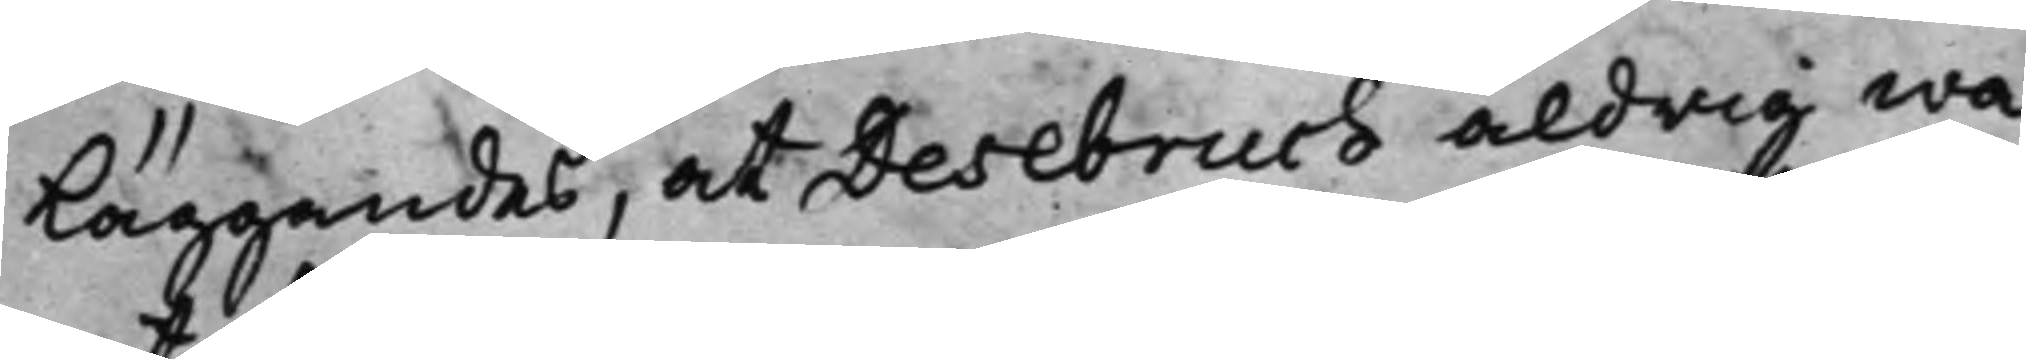läggandes, at Desebruch aldrig wa¬
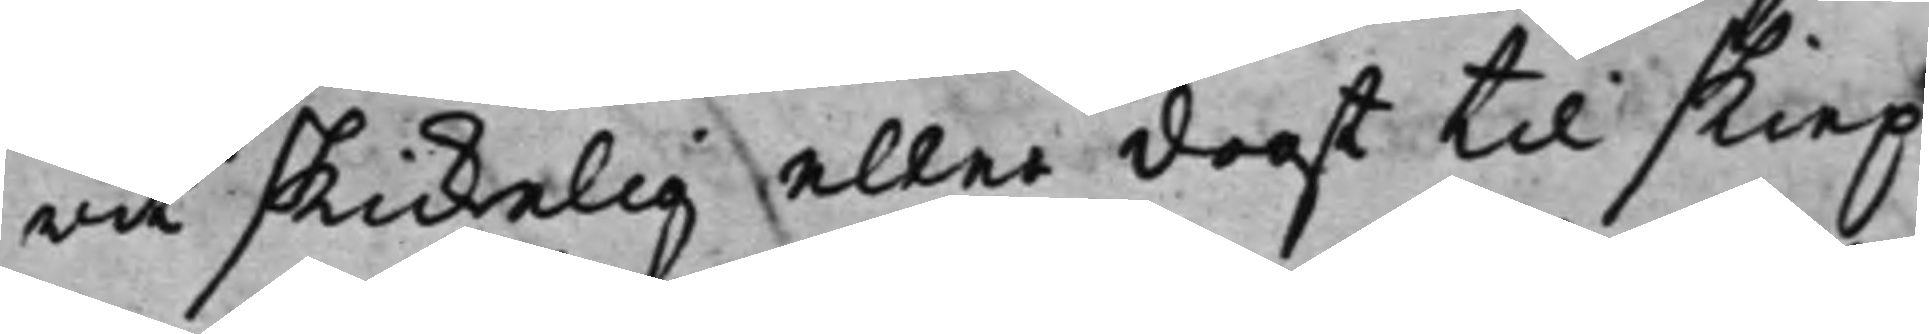rit skickelig eller dogt till skiep¬
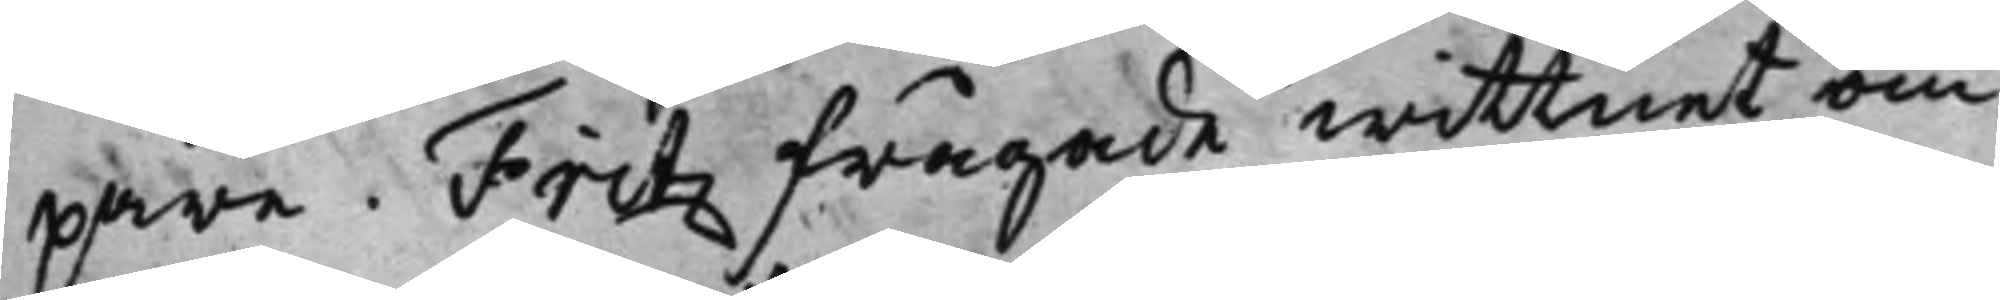pare. Fritz frågade wittnet om
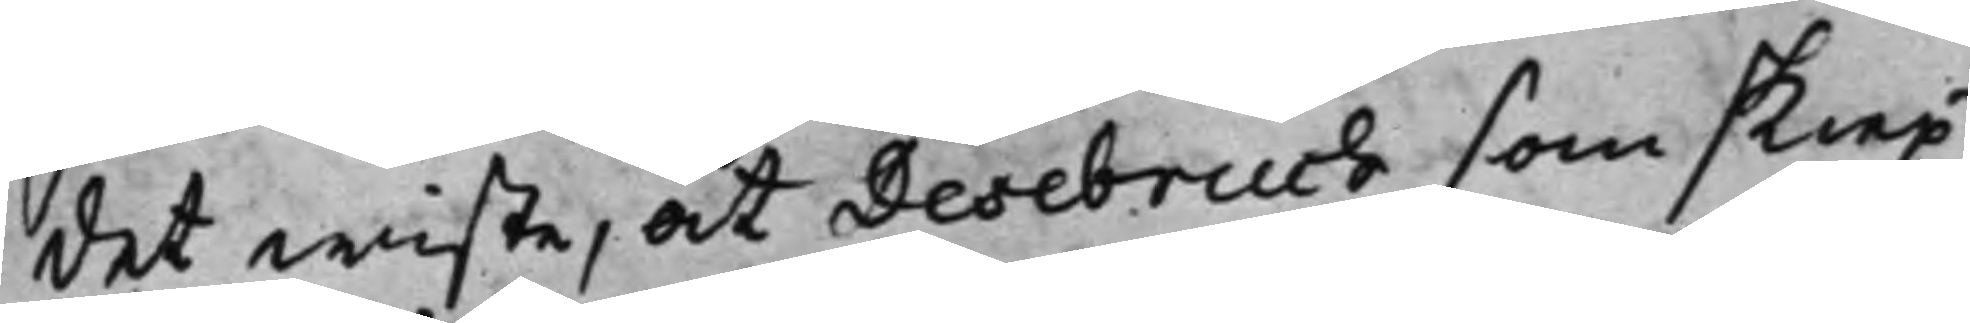det wiste, at Desebruch som skiep¬
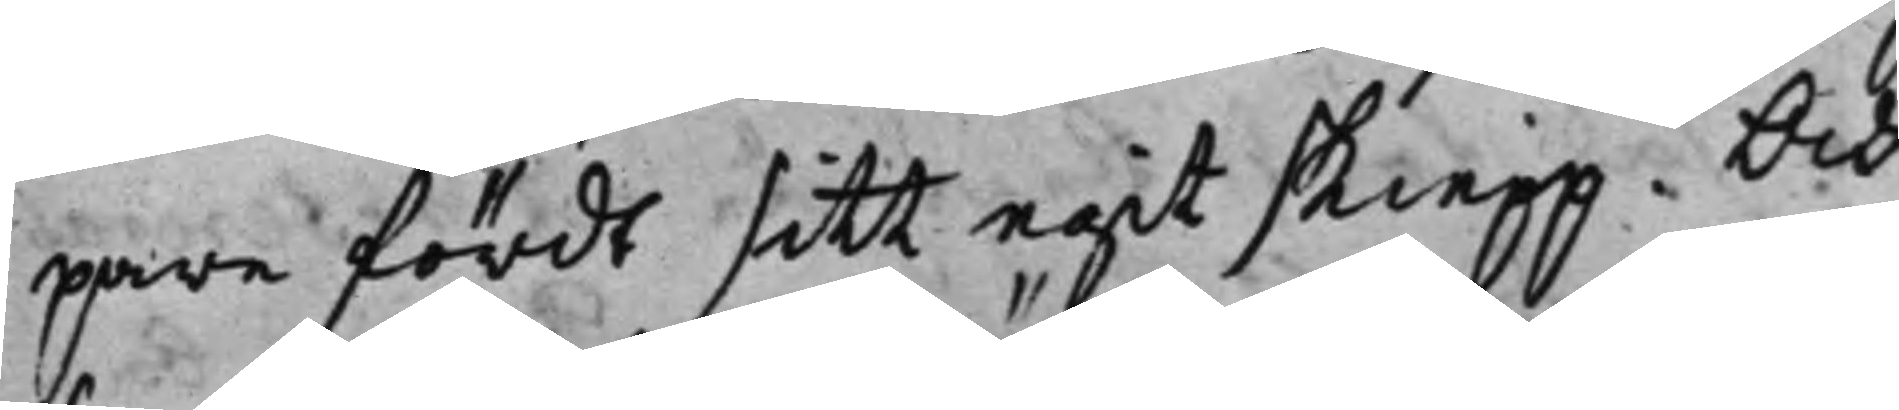pare fördt sitt egit skiepp. Och
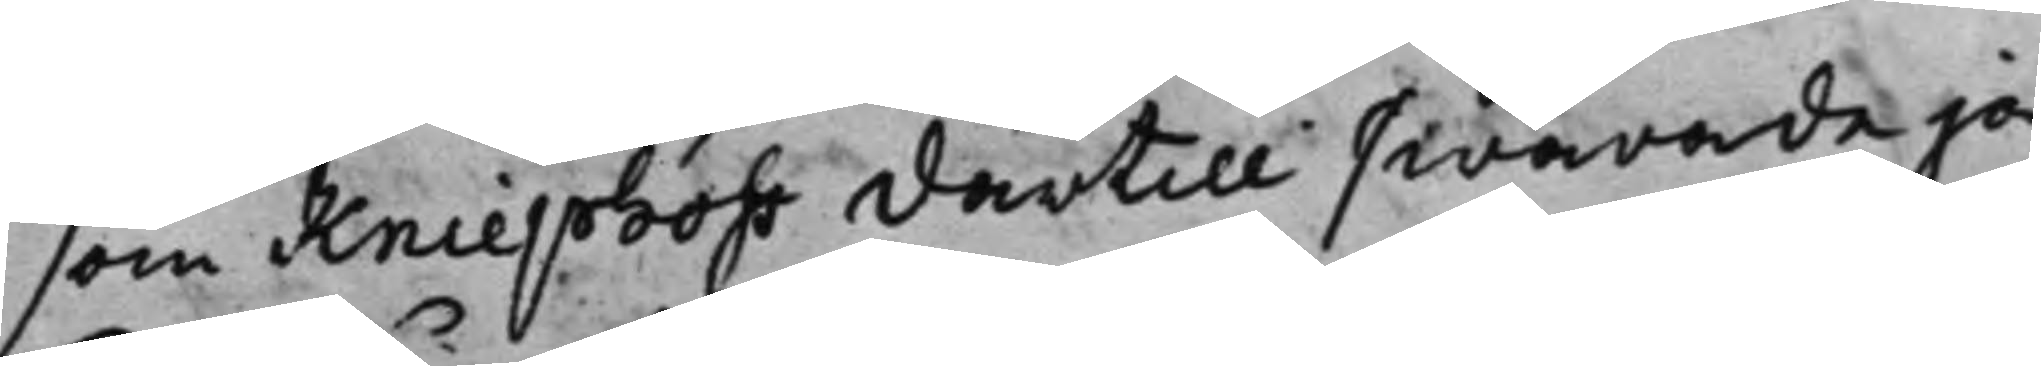som Kniephoff därtill swarade ja
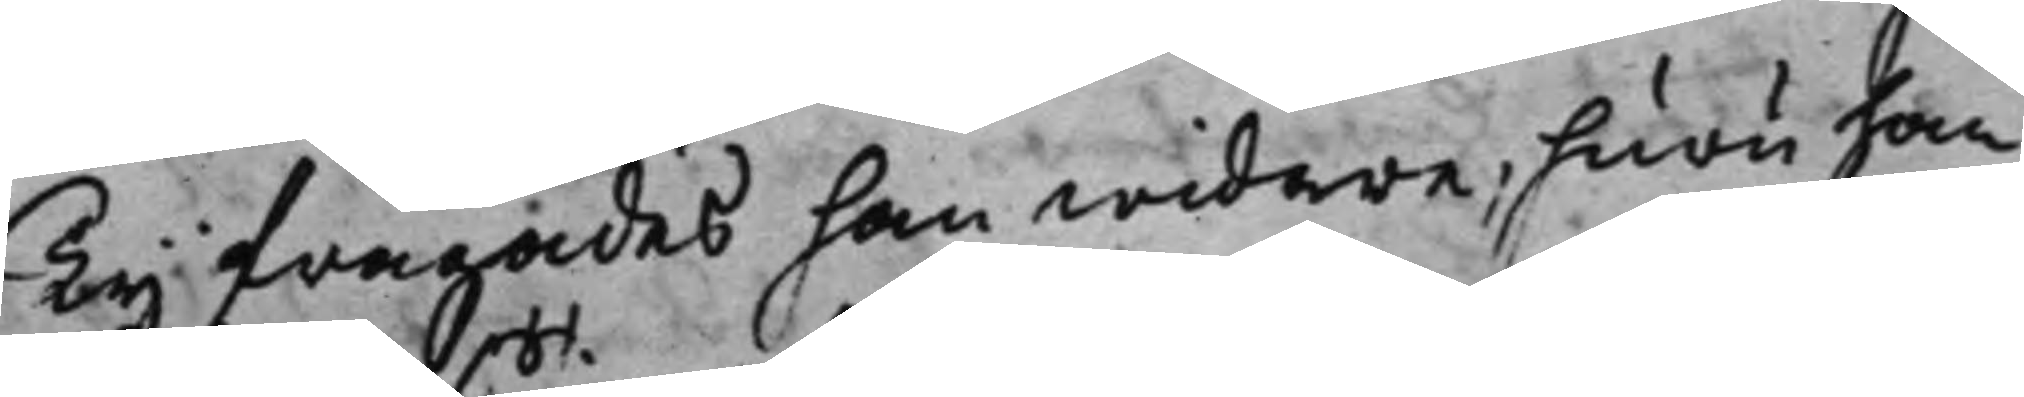Ty frågades han widare, huru han
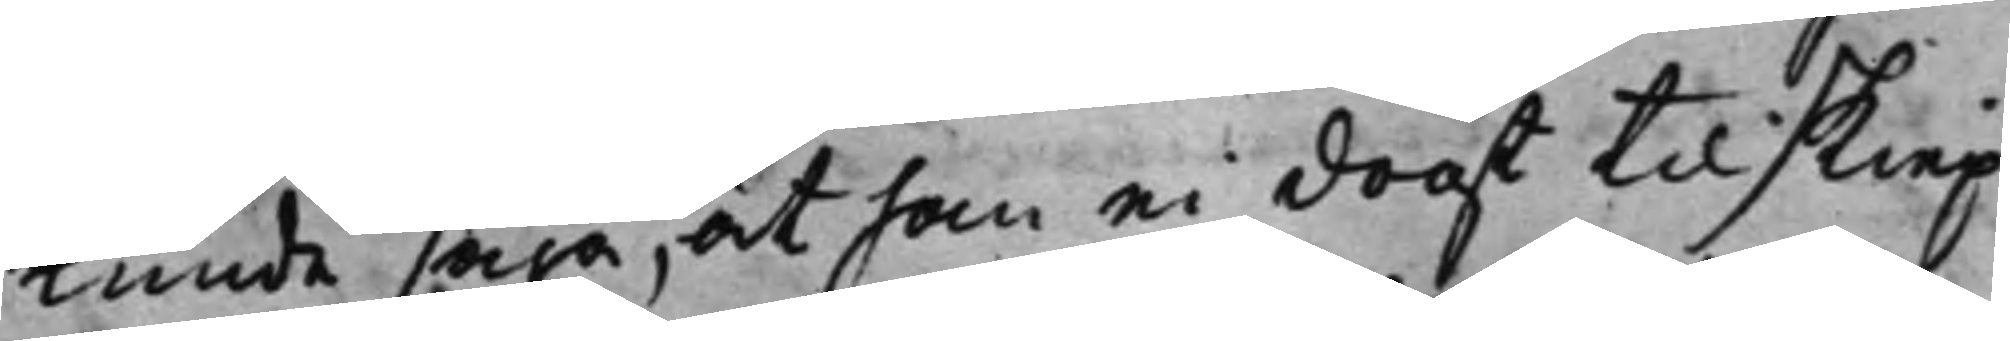kunde säga, at han ei dogt til skiep¬
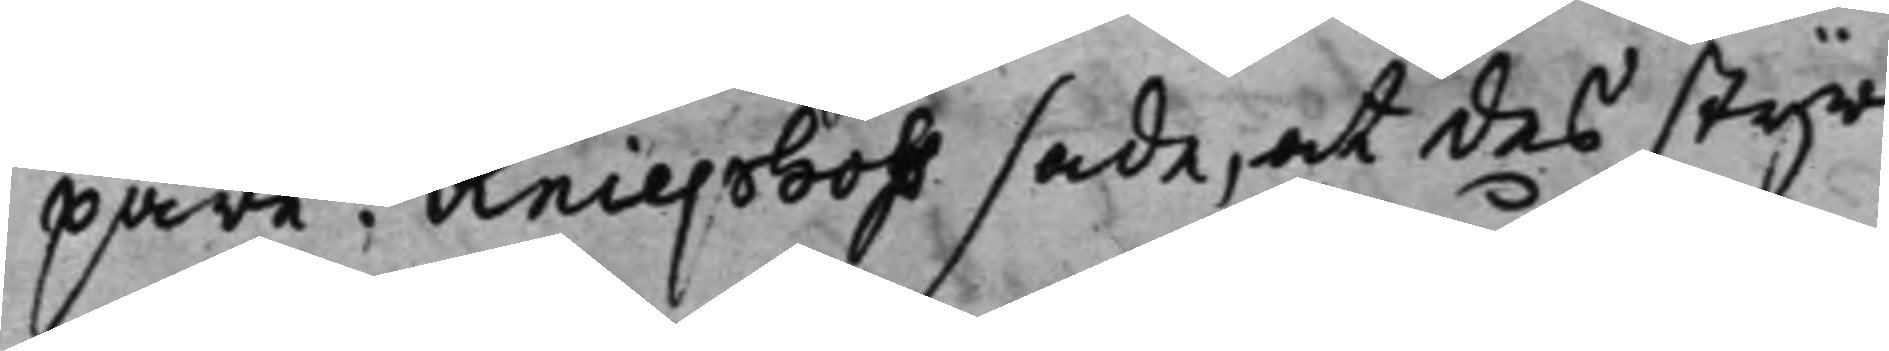pare! Kniephoff sade, at des styr¬
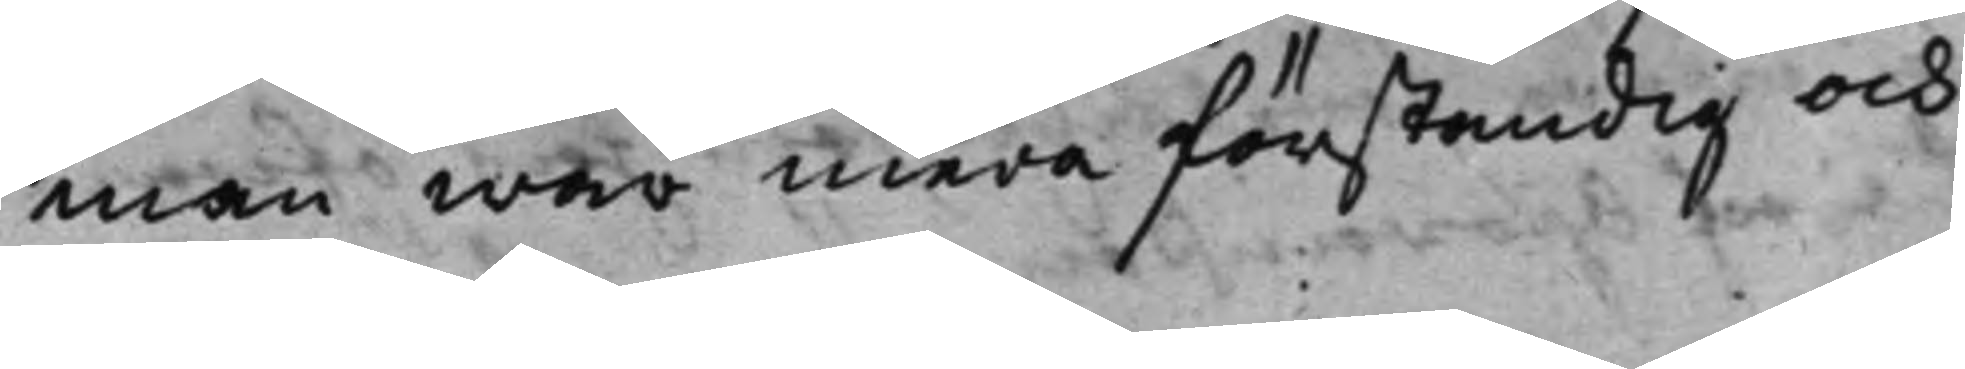man war mera förståndig och
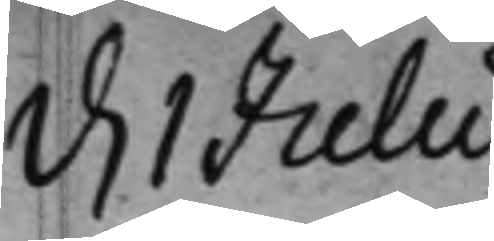d. 1 Julii
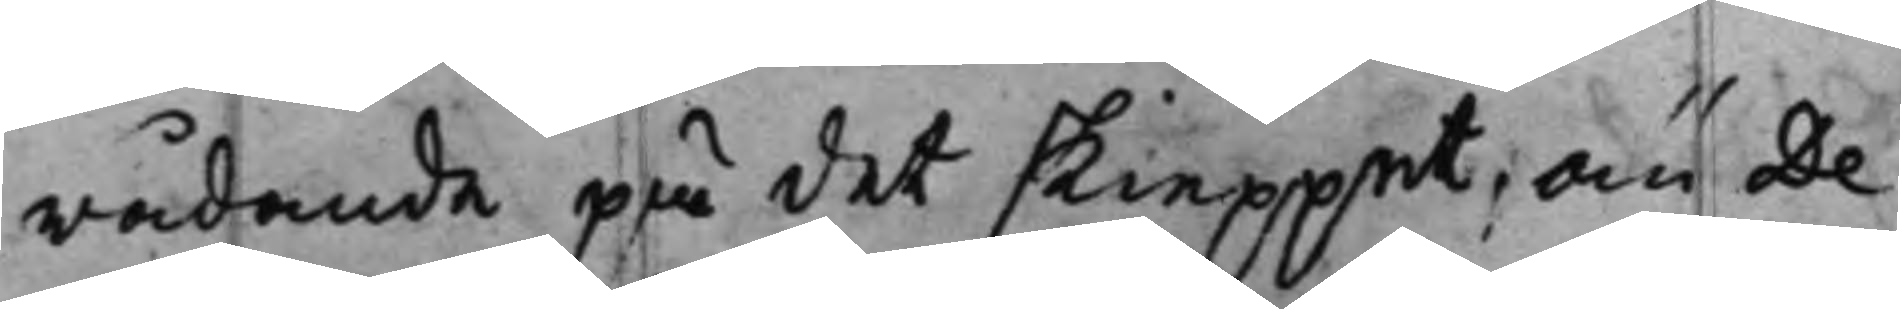rådande på det skieppet, än De¬
